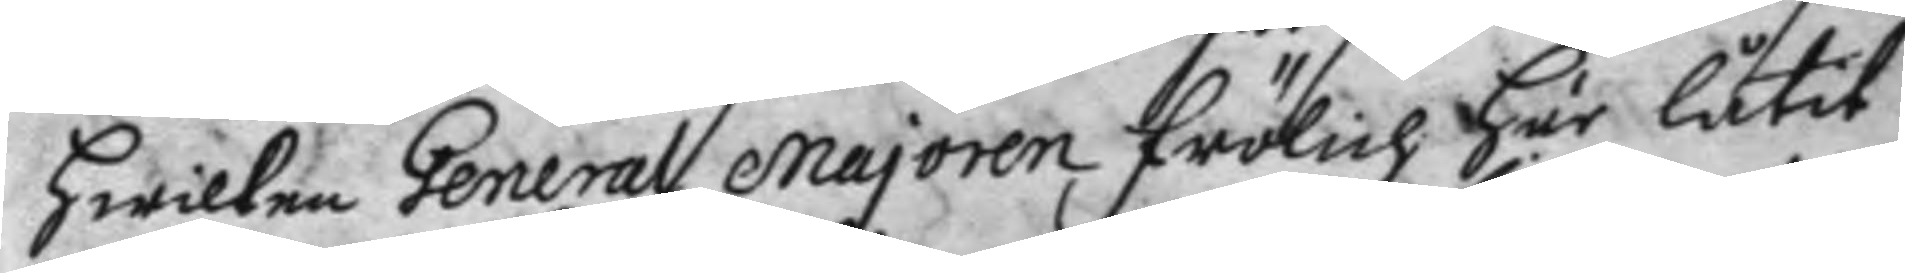hwilken General majoren frölich här låtit
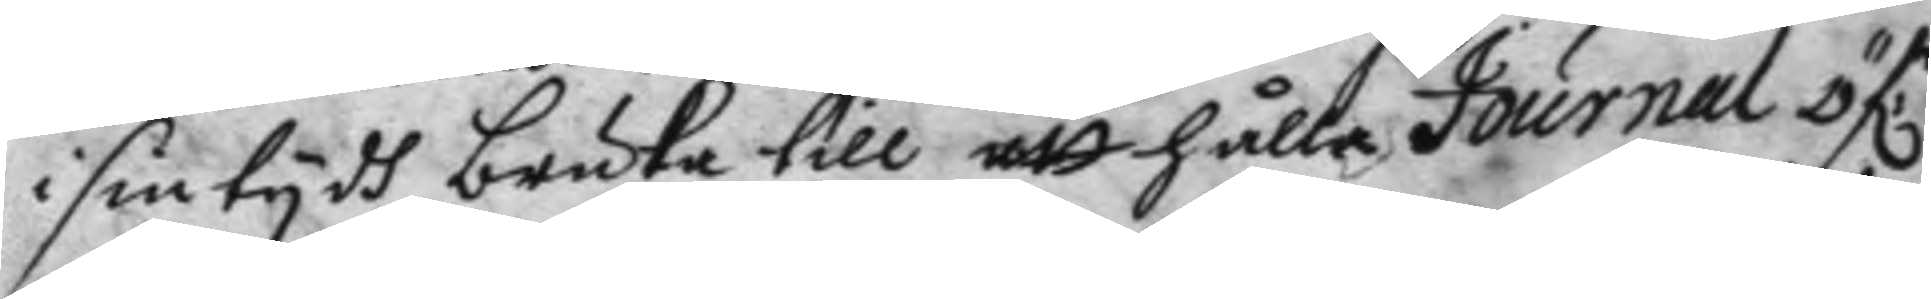i sin tydh bruka till att hålla Journal öf:r
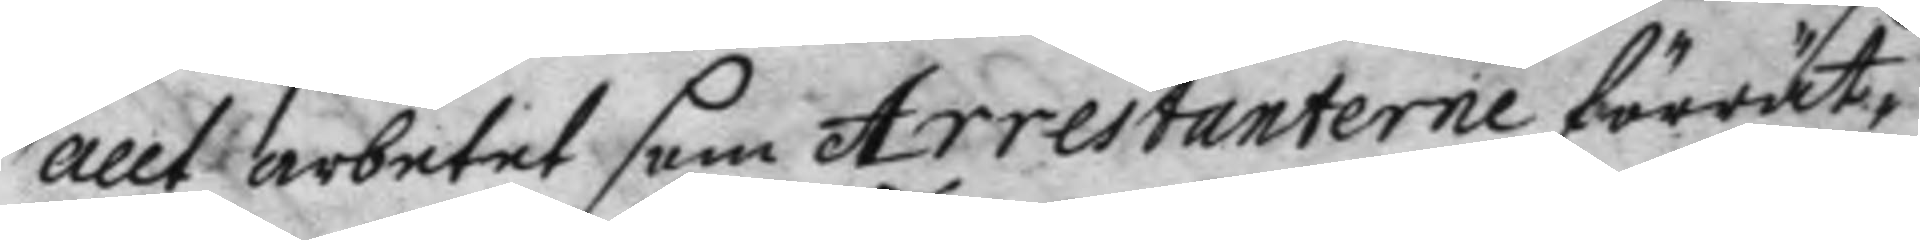allt arbetet som Arrestanterne förrät¬
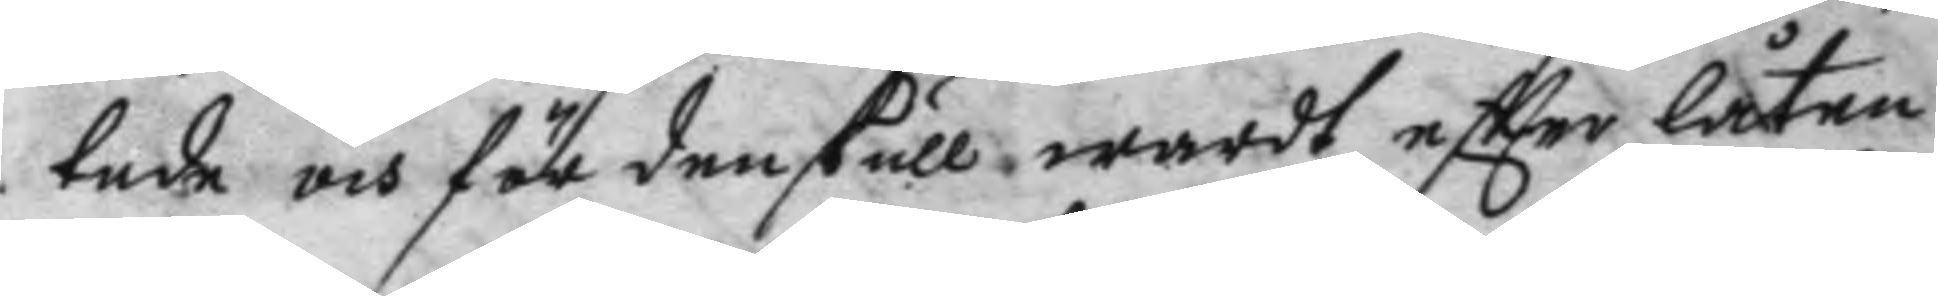tade och för den skull wardt eftter låten
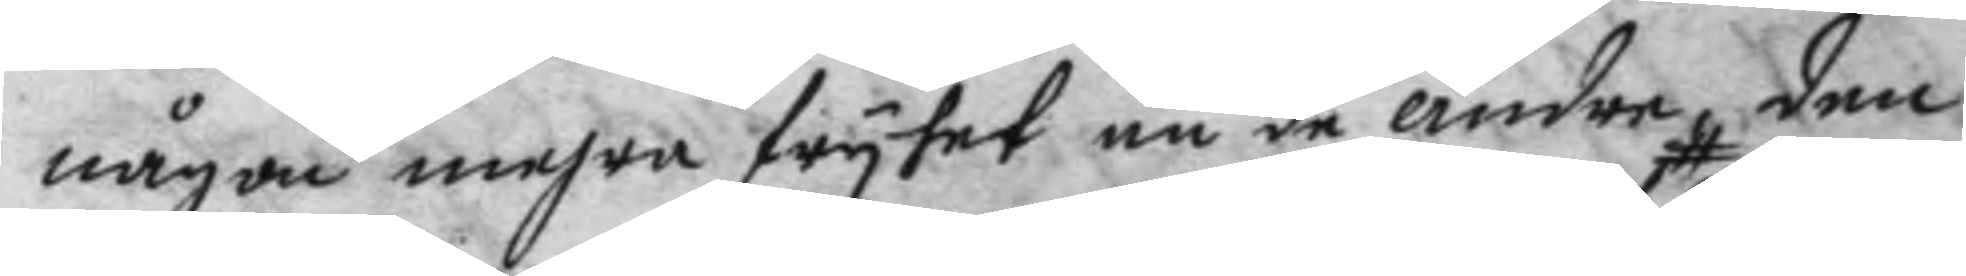någon mehra fryhet än de andra den
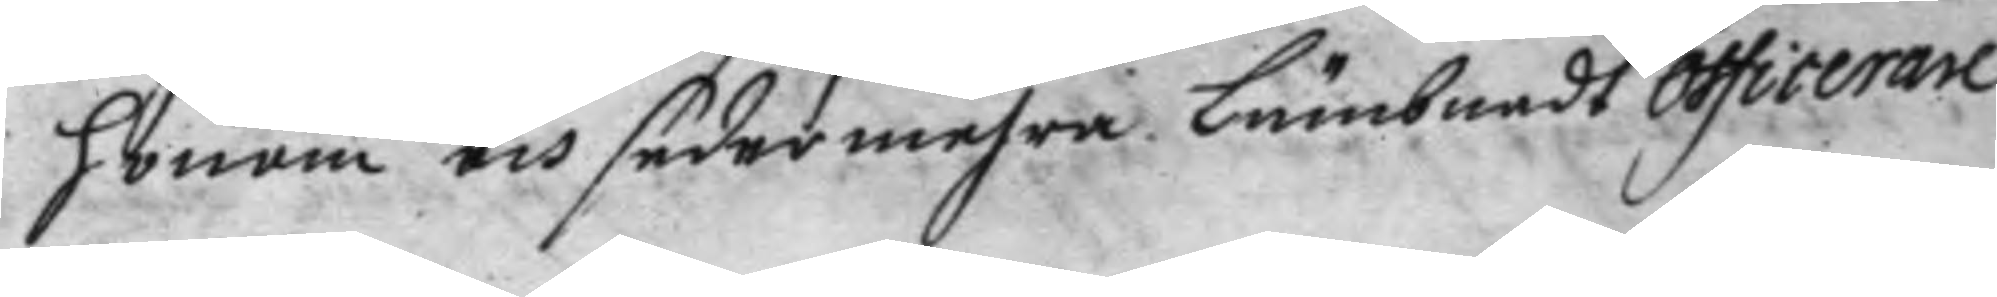honom och sedermehra Lämbnadt officerare
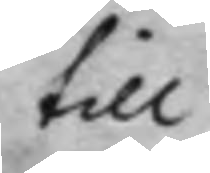till
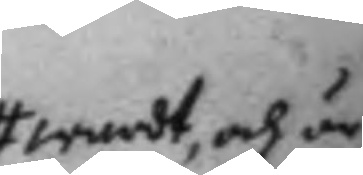wardt, och är
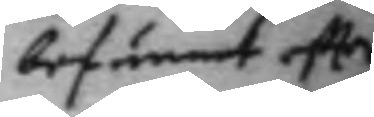befunnet eftter
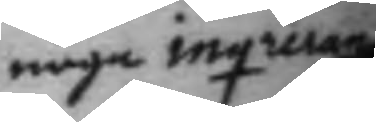noga inqruer¬
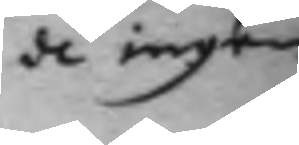de ingen
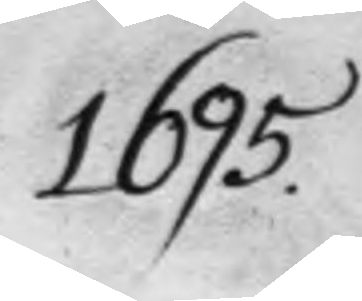1695.
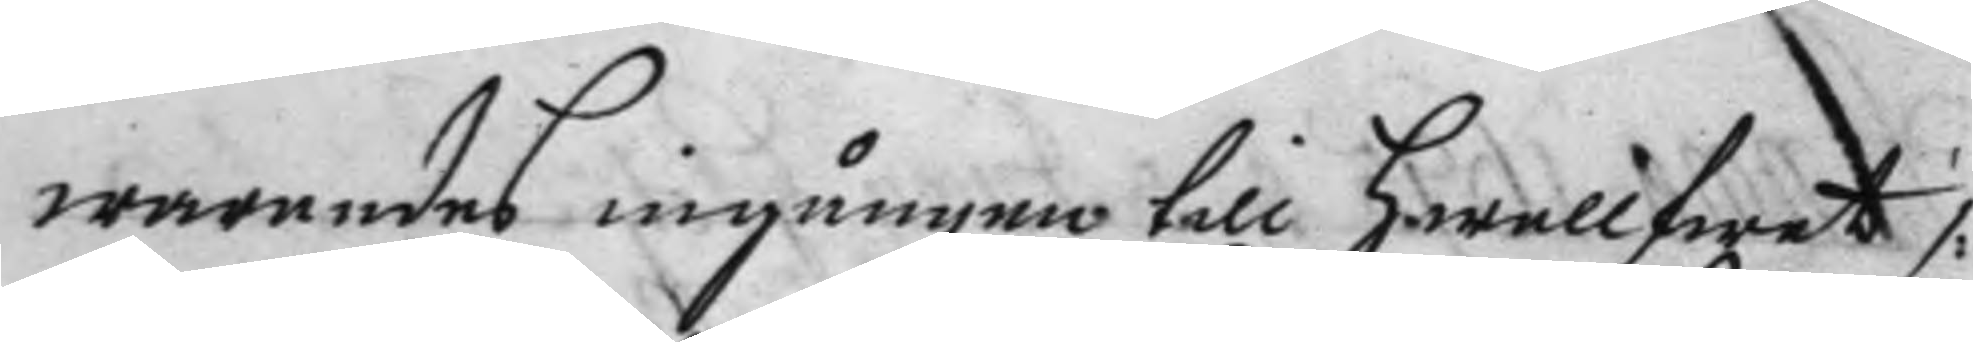warandes ingångne till hwallfwet /:
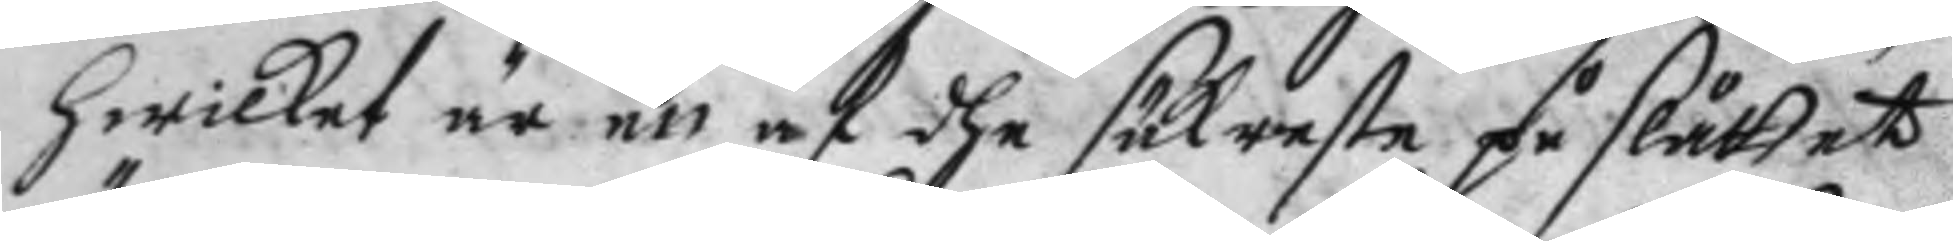hwilket är ett af dhe säkraste på slåttet
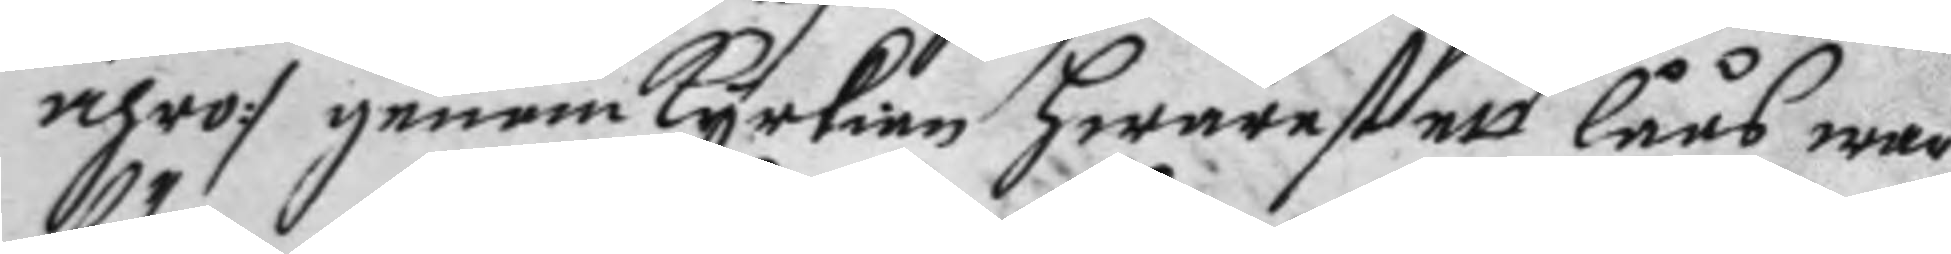ähro :/ genom kyrkian hwarefter låås war
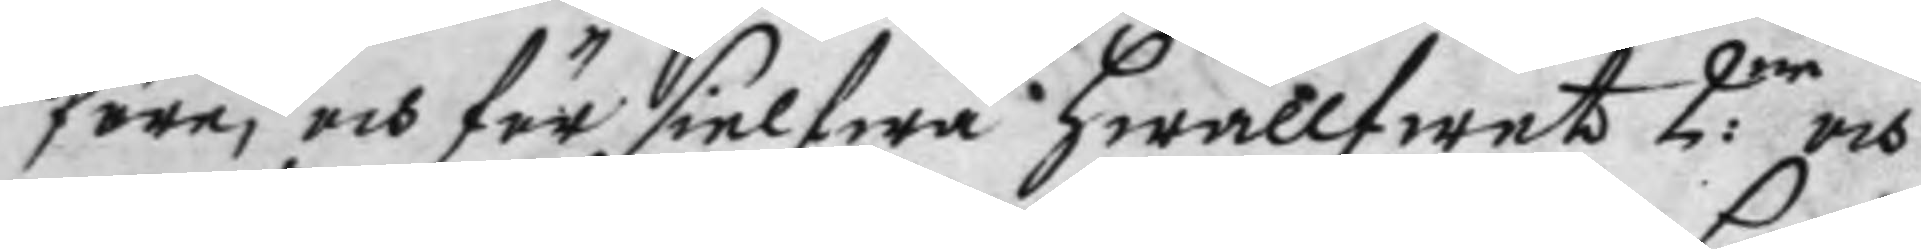före, och för sielfwa hwallfwet 2:ne och
